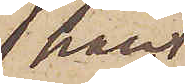han
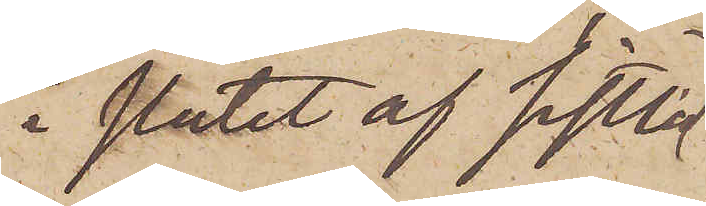i slutet af sistlid¬
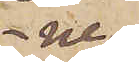ne
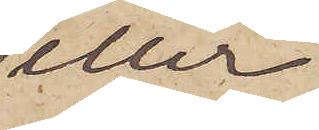eller
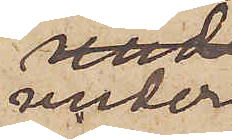under
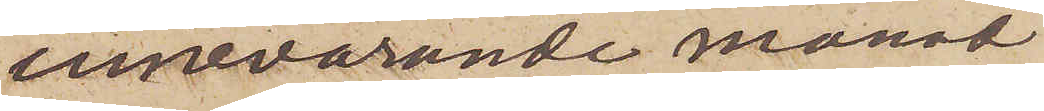innevarande månad
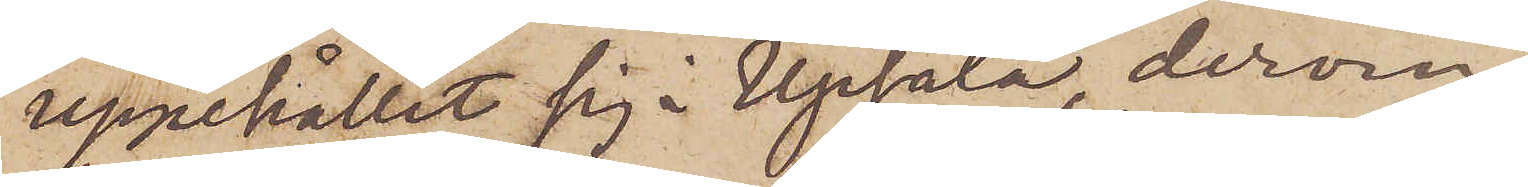uppehållit sig i Upsala, derom
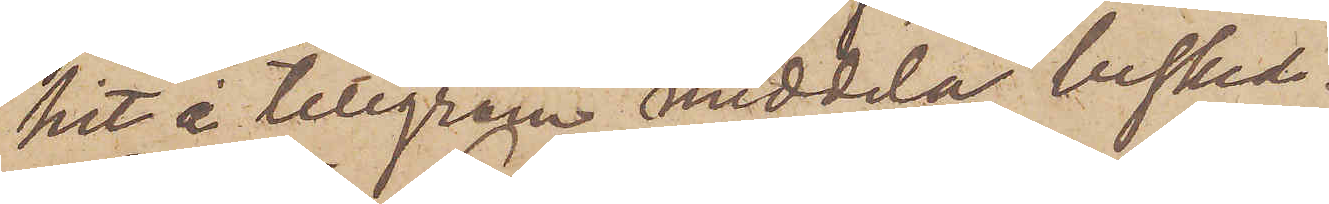hit i telegram meddela besked.
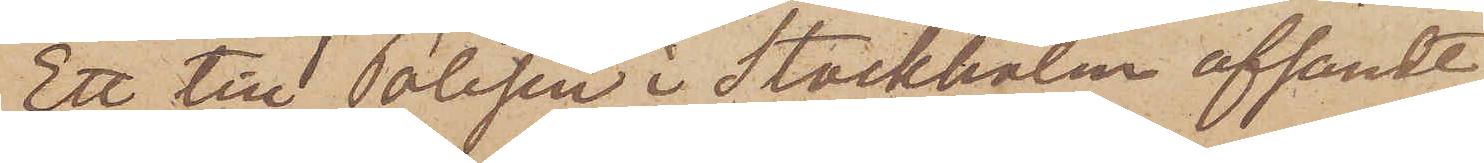Ett till Polisen i Stockholm afsändt
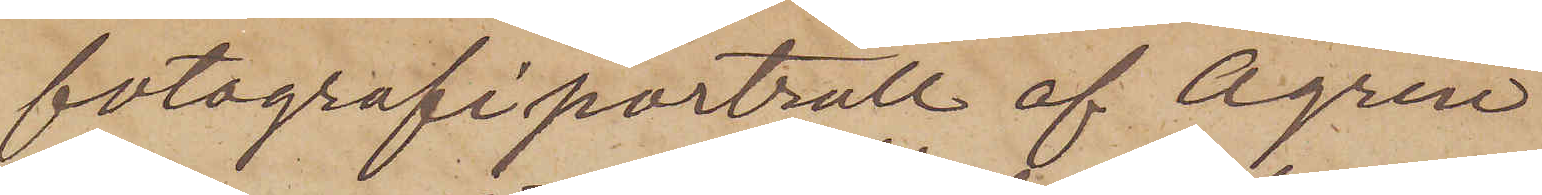fotografiporträtt af Ågren
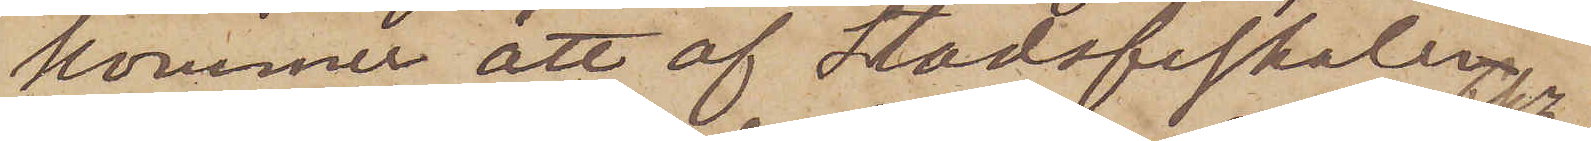kommer att af Stadsfiskalen 
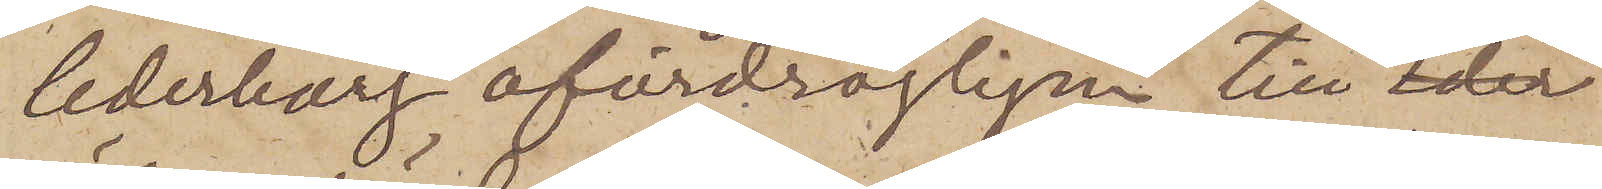Cederborg ofördröjligen till Pkr
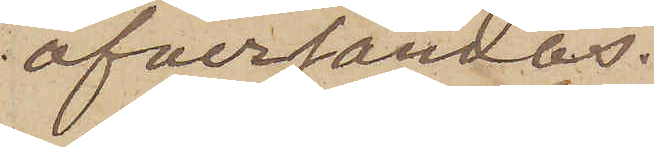öfversändas.
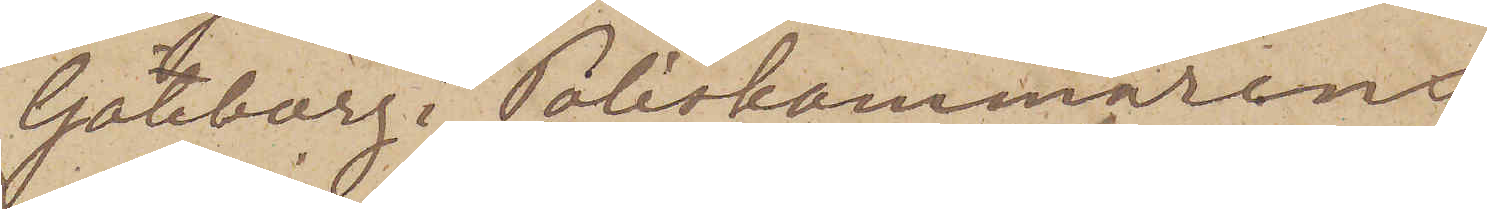Göteborg i Poliskammarens
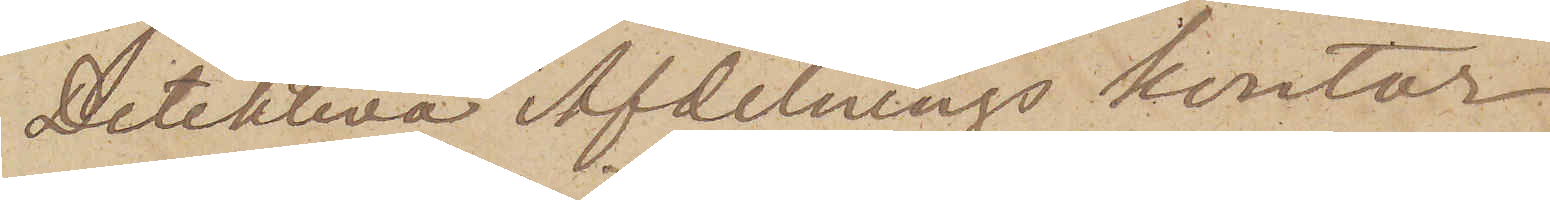Detektiva Afdelnings kontor
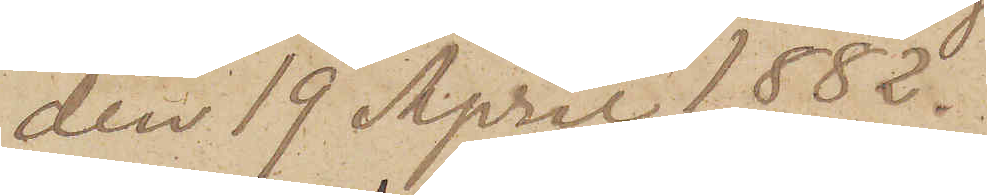den 19 April 1882.
